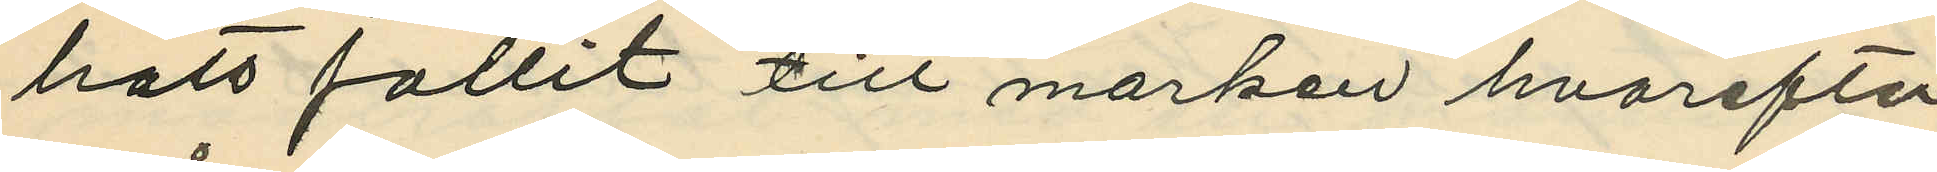hatt fallit till marken hvarefter
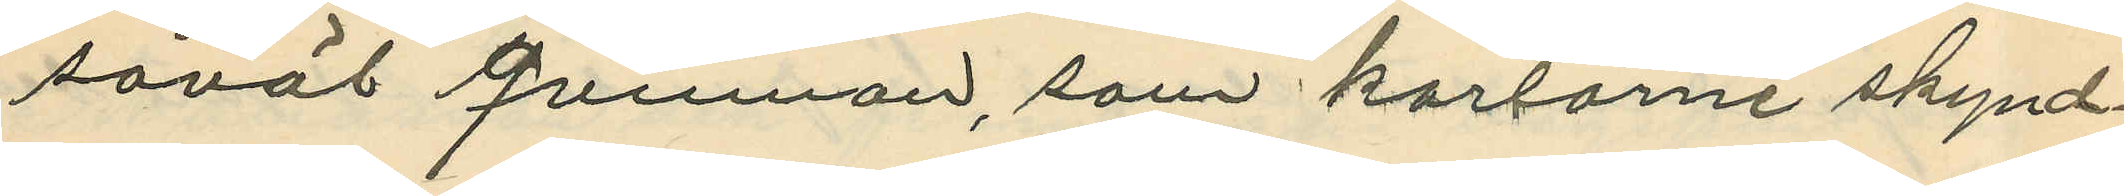såväl qvinnan, som karlarne skynd¬
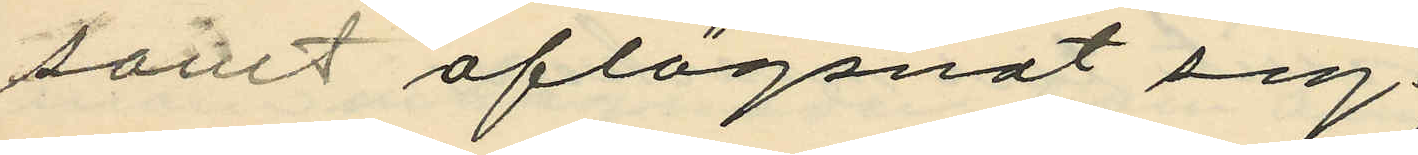samt aflägsnat sig.
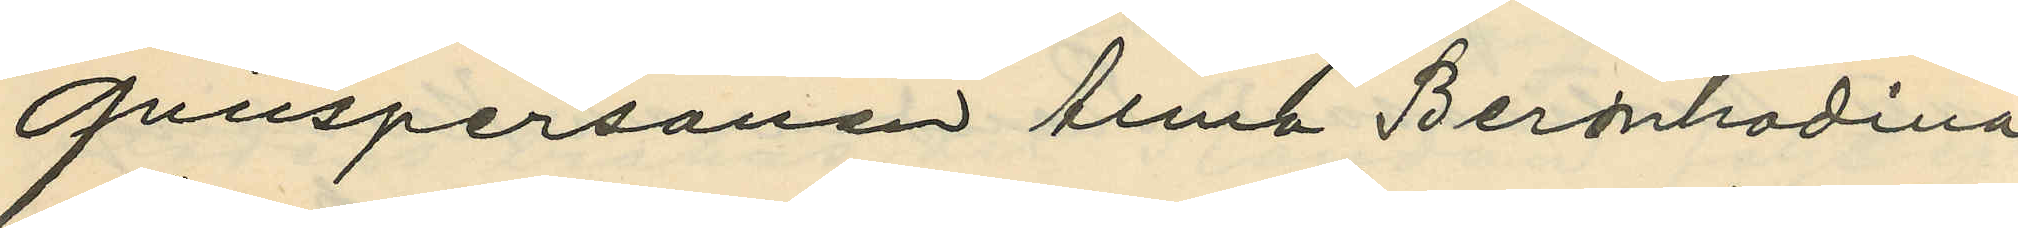Qvinspersonen Alma Bernhadina
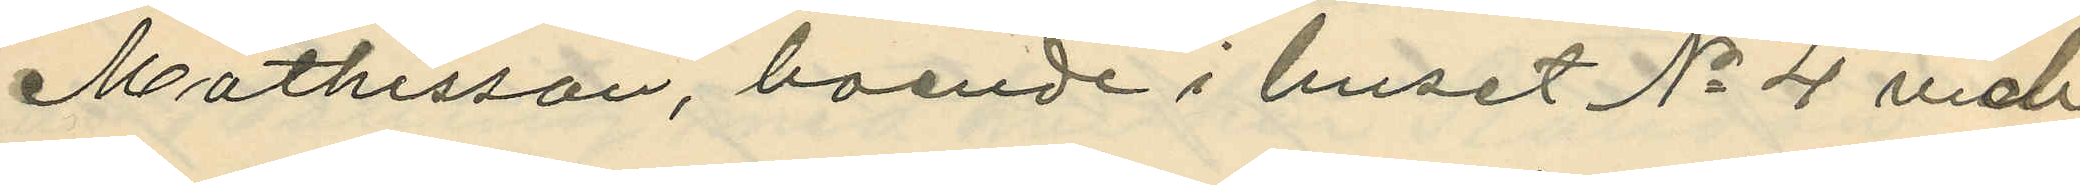Mathisson, boende i huset No 4 vid
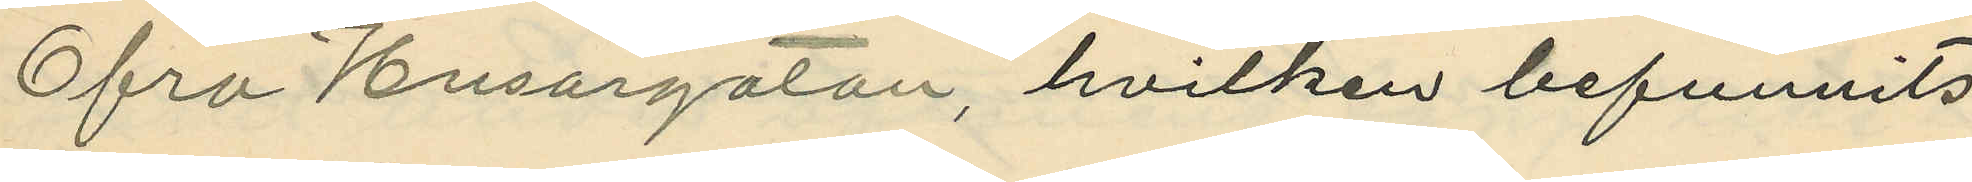Ofra Husargatan, hvilken befunnits
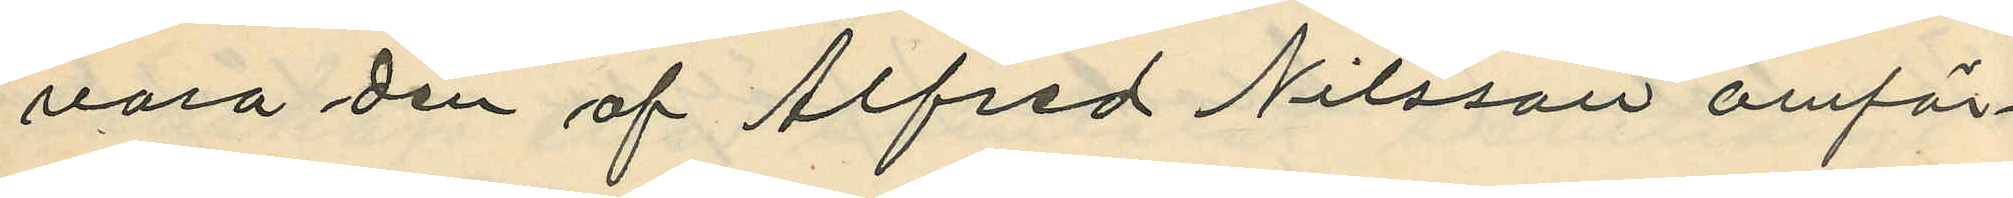vara den af Alfred Nilsson omför¬
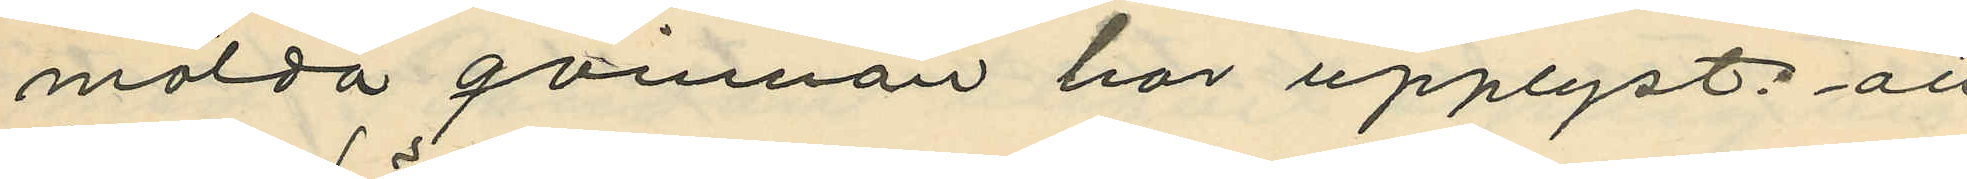mälda qvinnan har upplyst: att
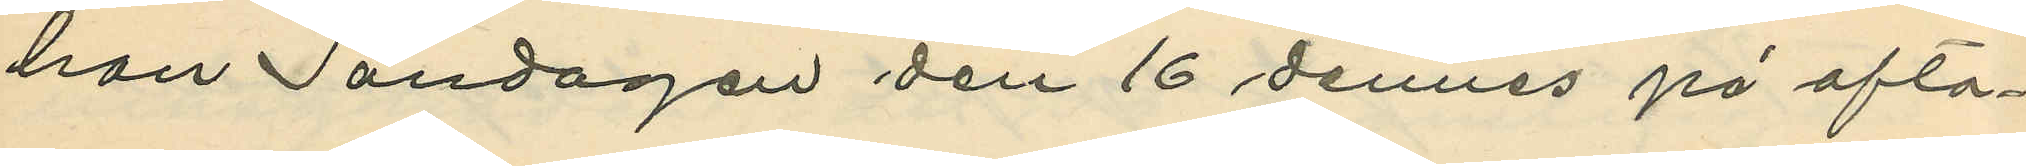hon Söndagen den 16 dennes på afto¬
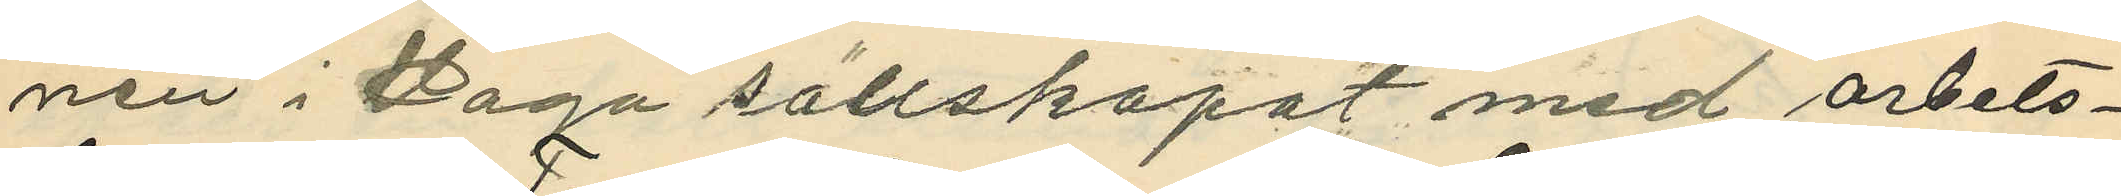nen i Haga sällskapat med arbets¬
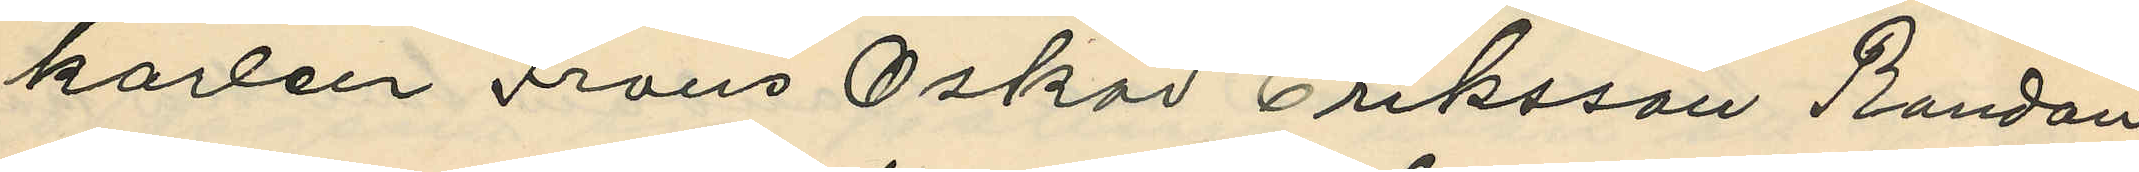karlen Frans Oskar Eriksson Randau
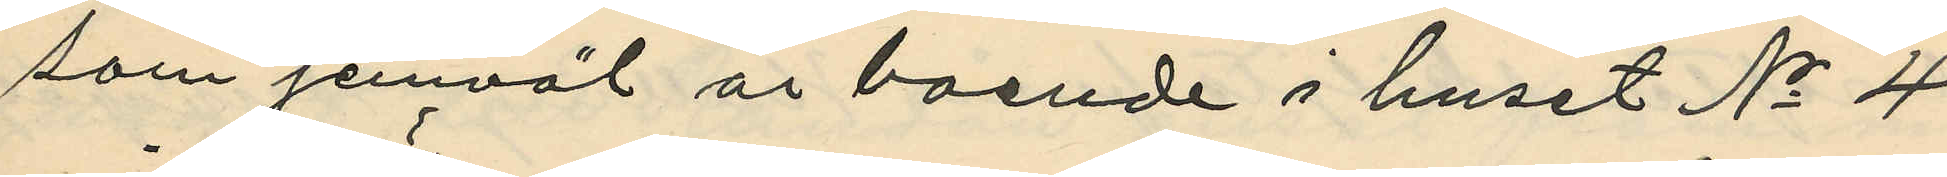som jemväl är boende i huset No 4
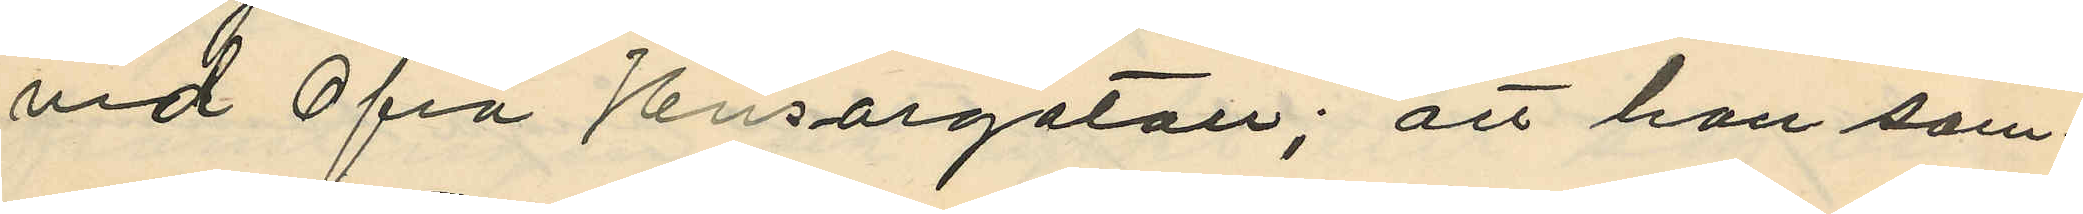vid Öfra Husargatan; att hon sam¬
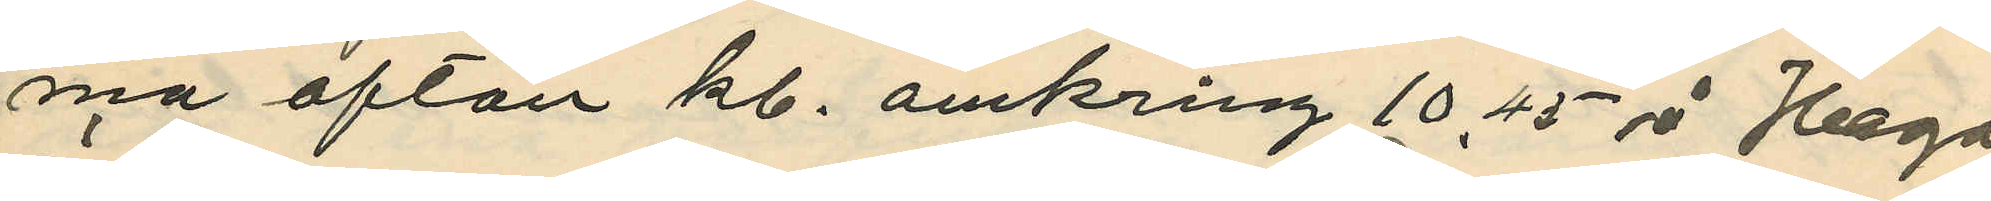ma afton kl. omkring 10,45 å Haga
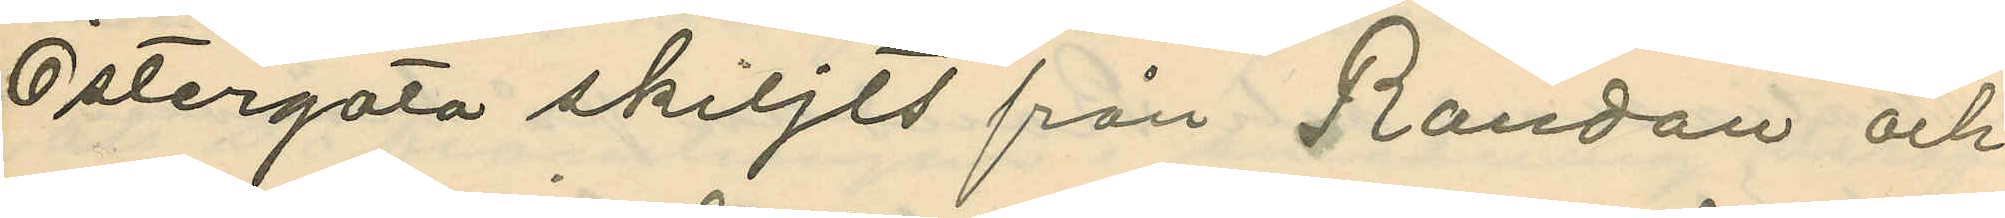Östergata skiljts från Randau och
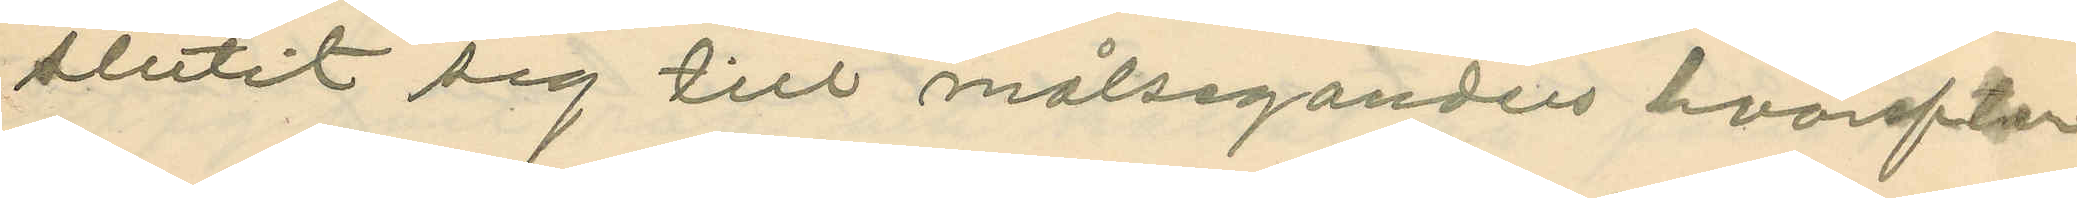slutit sig till målseganden hvarefter
